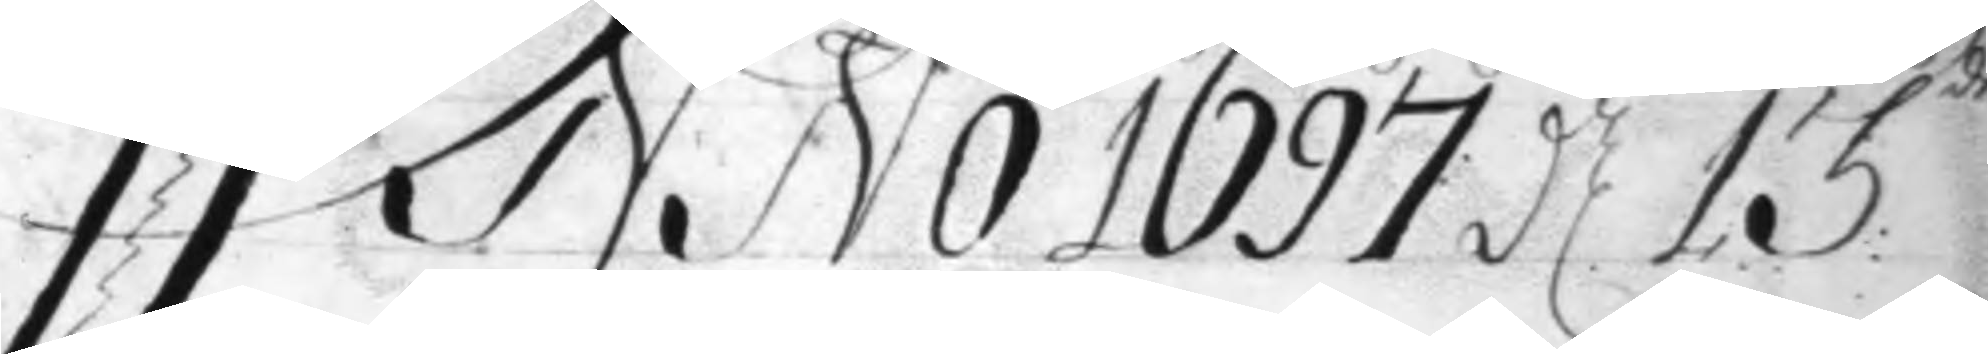Anno 1697 d 13:de
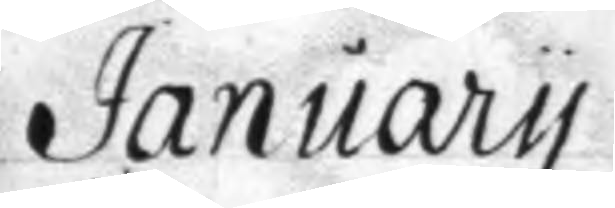January
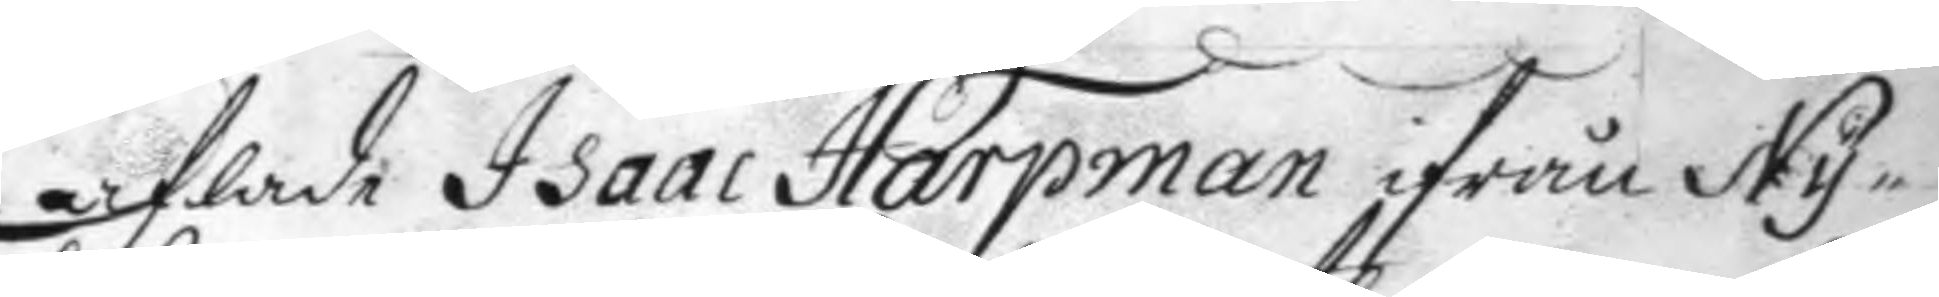aflade Isaac Harpman ifrån Ny¬
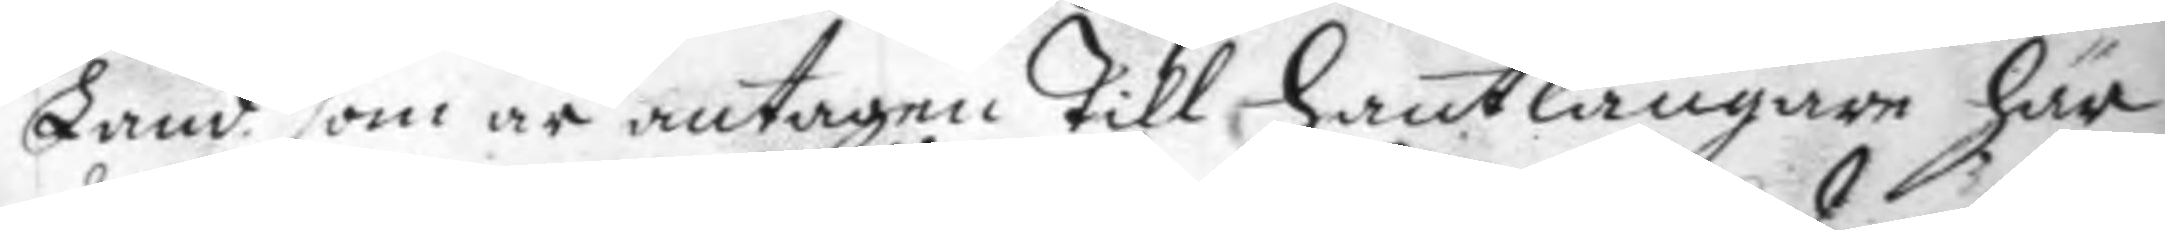Land som är antagen till hantlangare här
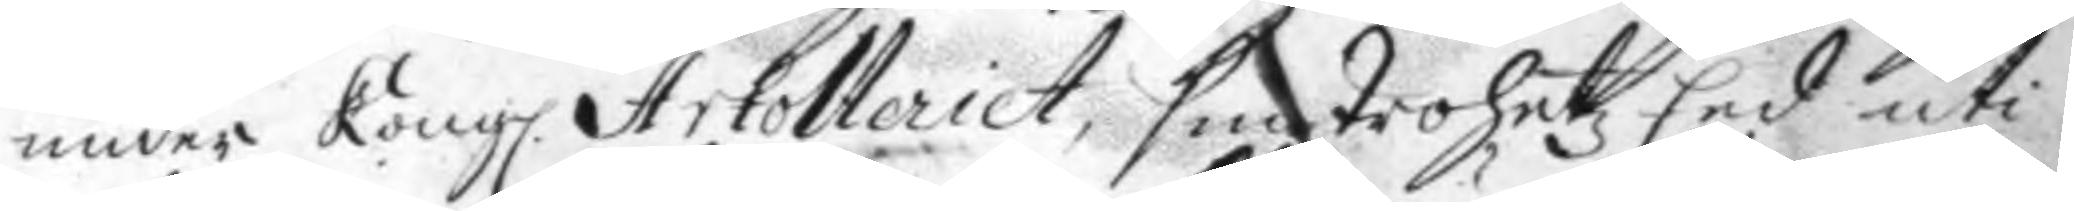under Kong. Artolleriet, sin trohetz Eed uti 
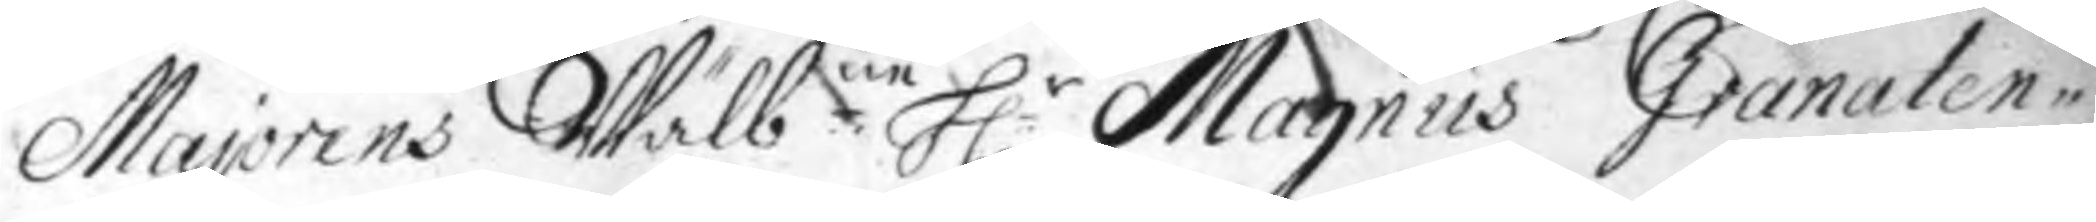Majorens Wälb:ne H:r Magnus Granaten¬ 
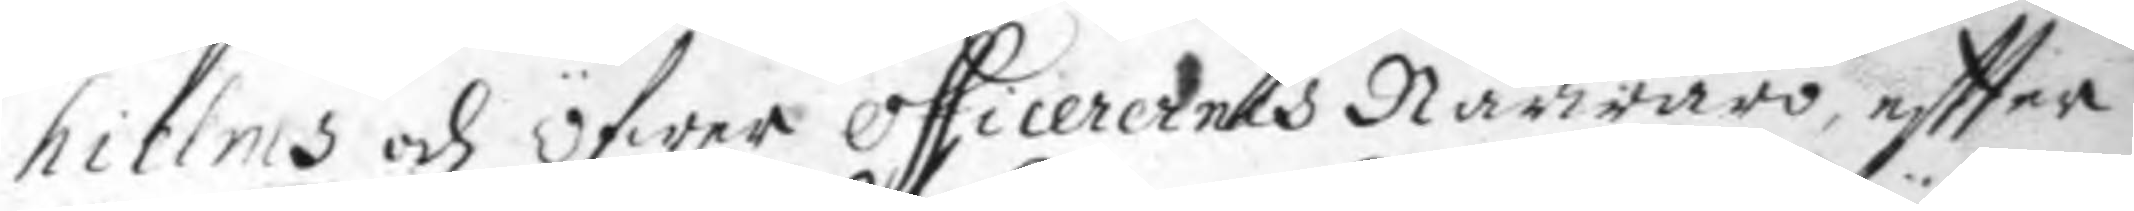hielms och öfwer officerernes Närwaro, effter
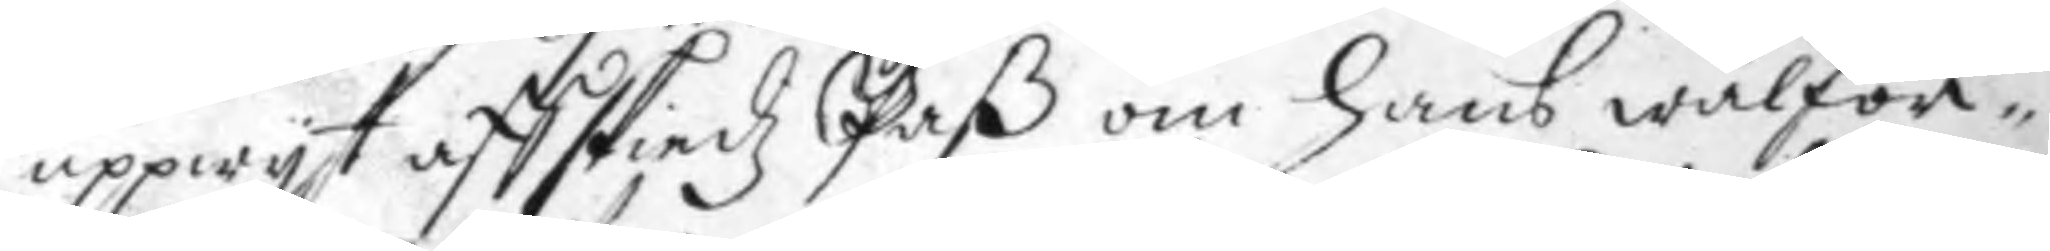uppwyt affskiedz Paß om hans wälför¬
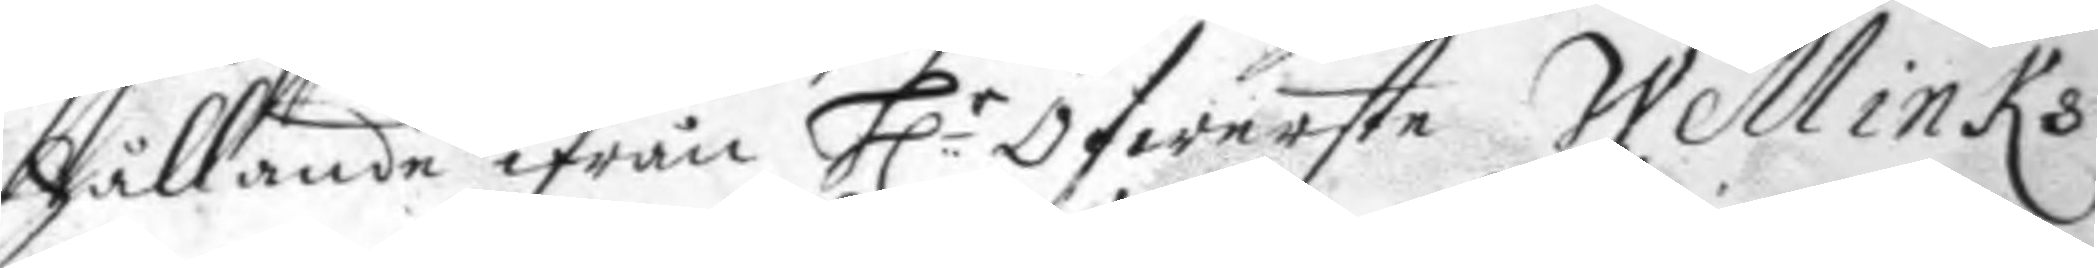hållande ifrån H.r Öfwerste Wellinks 
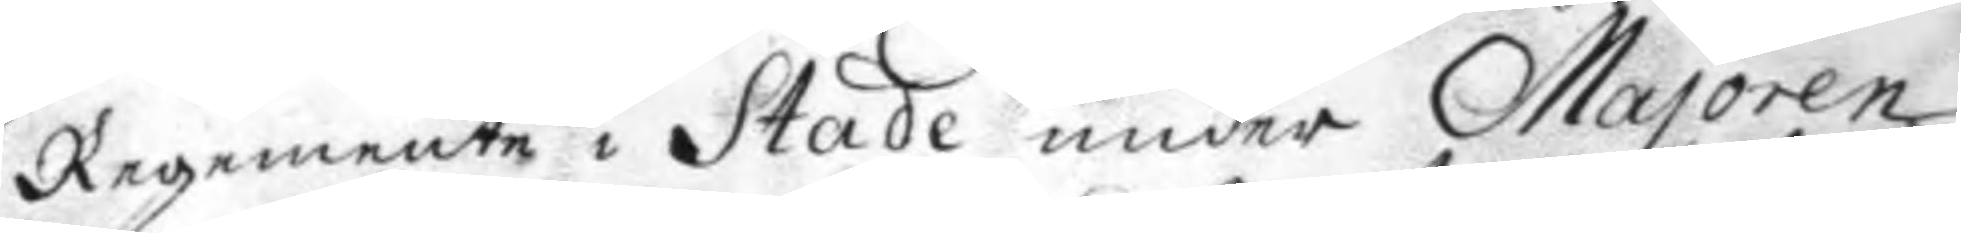Regemente i Stade under Majoren
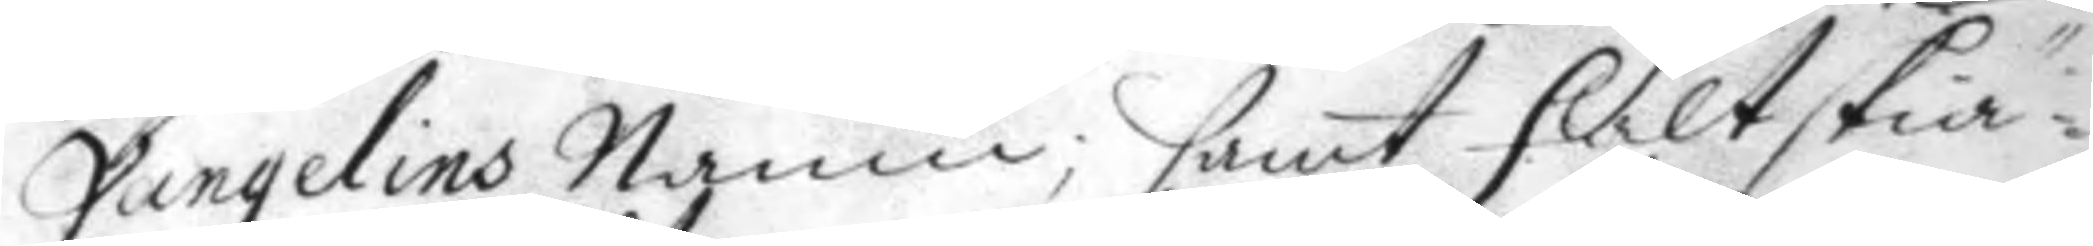Vangelins Namn; samt fält skiä¬
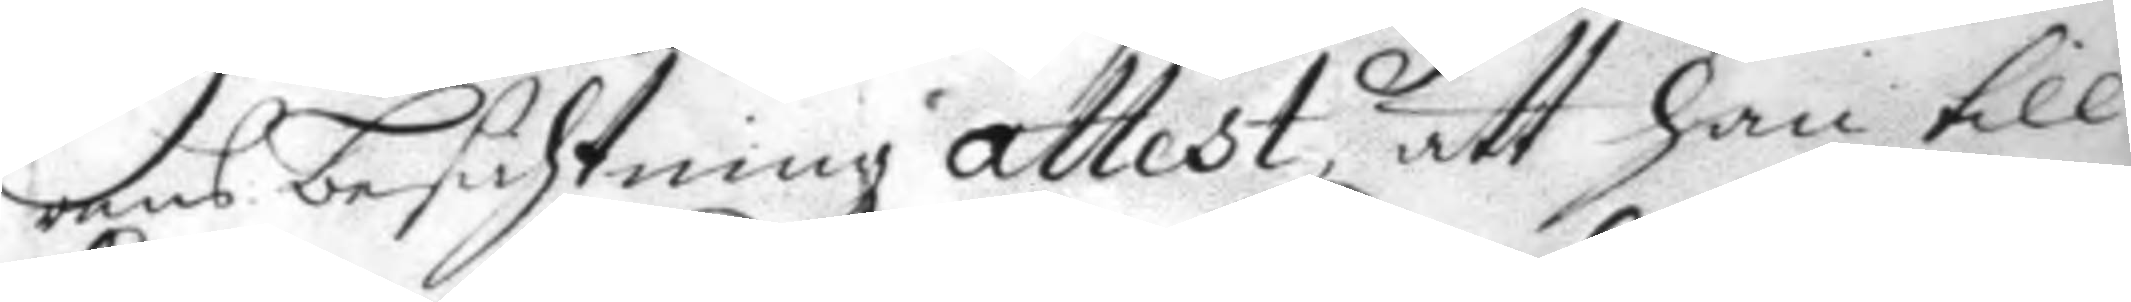rens besichtningz attest, att han till
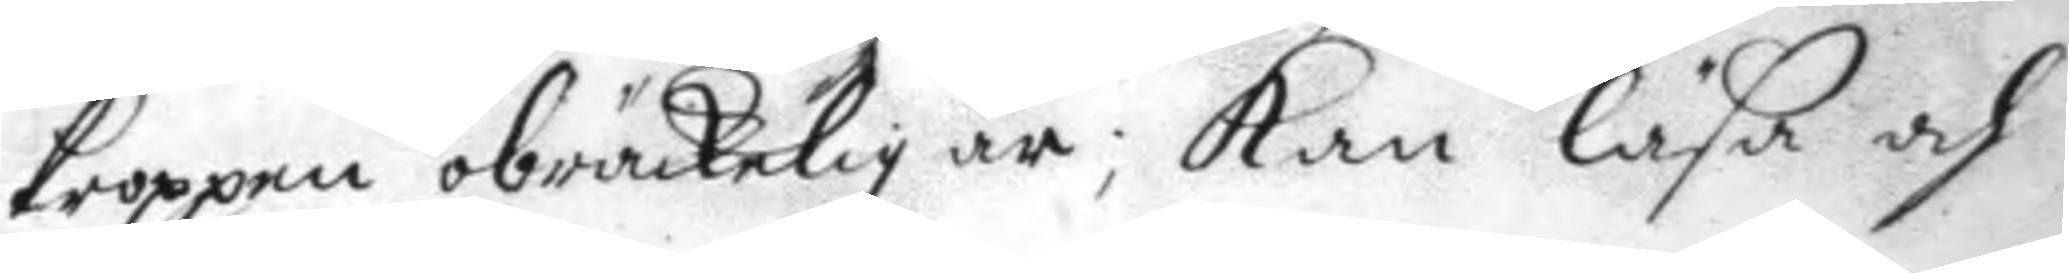kroppen obräckelig är; Kan läsa och
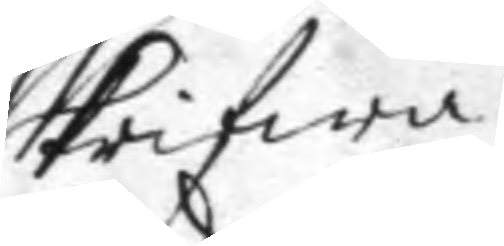skrifwa.
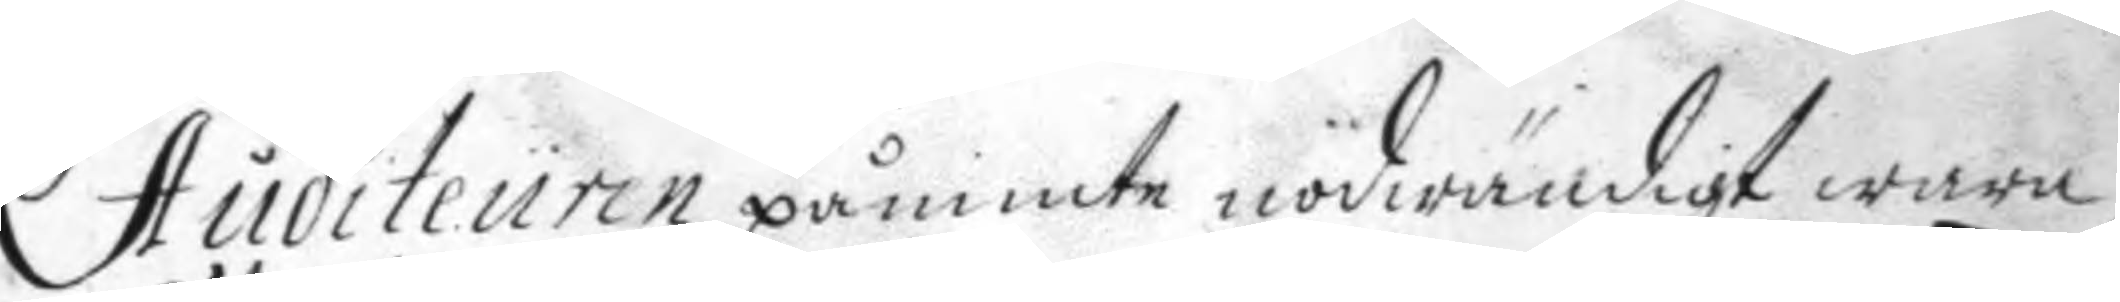Auditeuren påminte nödwändigt wara
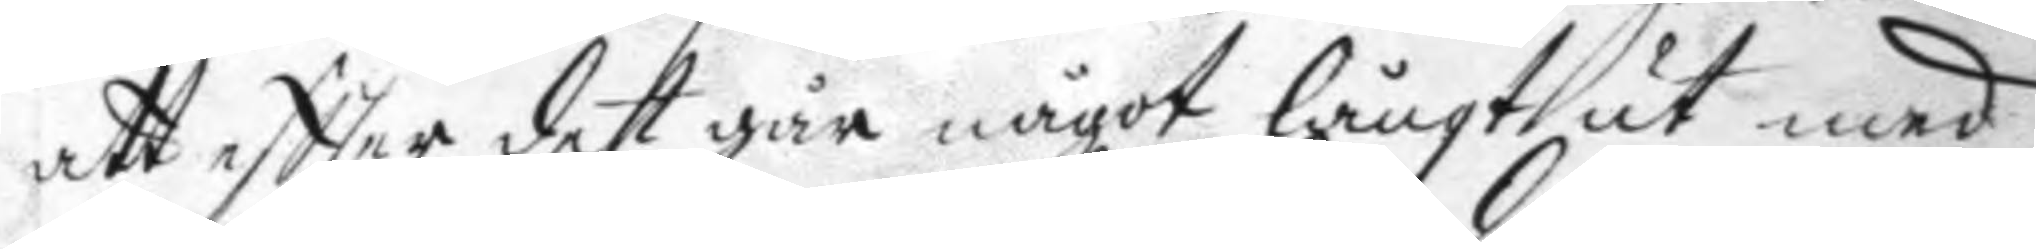att eftter det går något långt ut med
